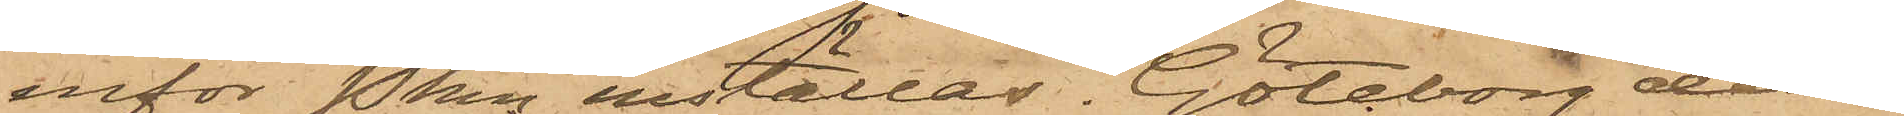inför Pkn inställas. Göteborg den
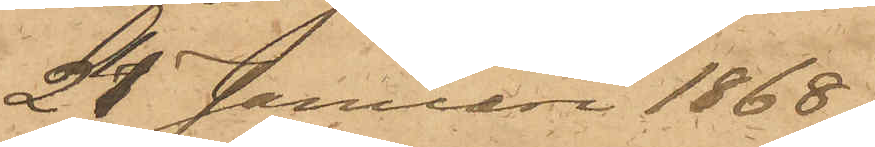24 Januari 1868.
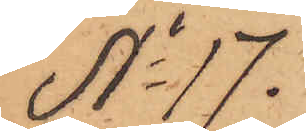No 17.
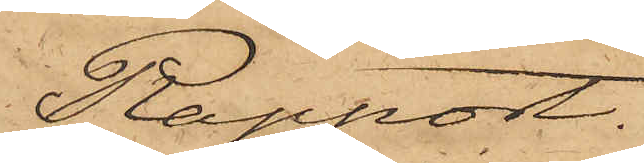Rapport.
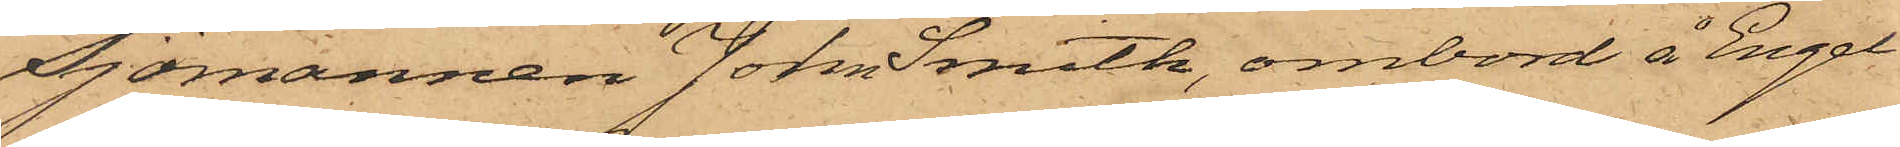Sjömannen John Smith, ombord å Engel¬
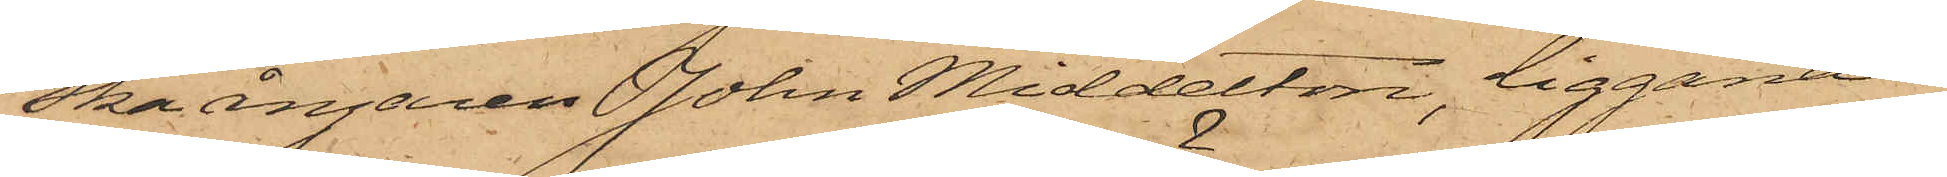ska ångaren John Middelton, liggande
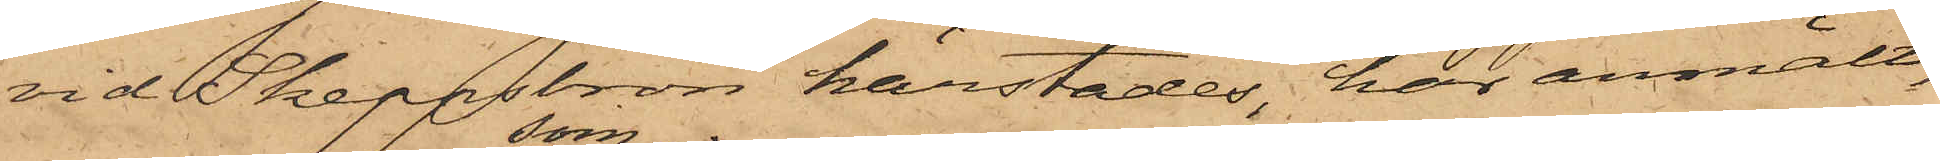vid Skeppsbron härstädes har anmält,
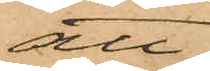att
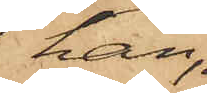han,
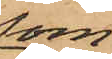som
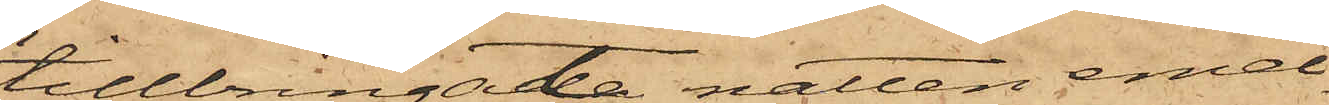tillbringat natten emel¬
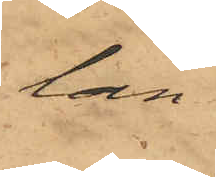lan
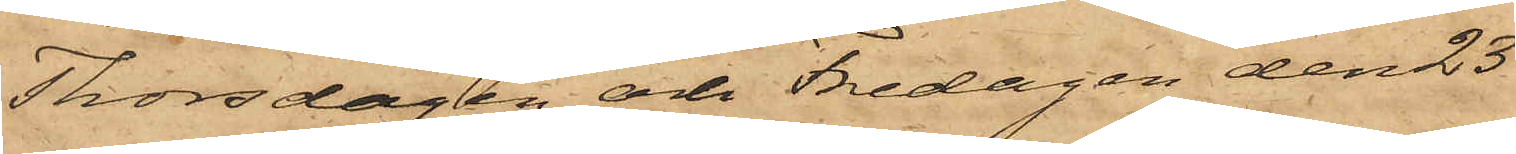Thorsdagen och Fredagen den 23
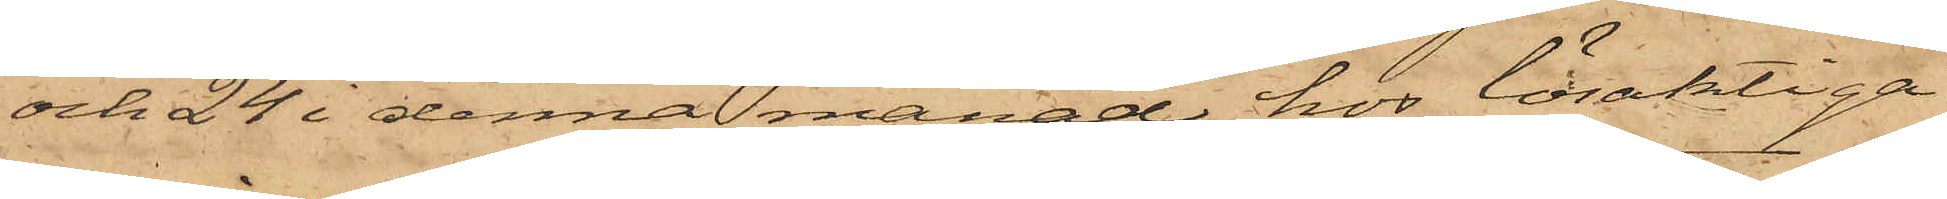och 24 i denna månad hos lösaktiga
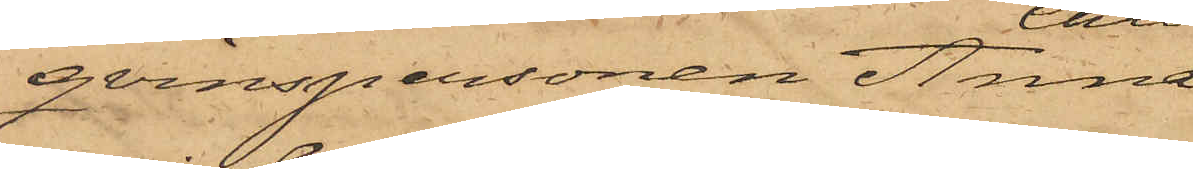qvinspersonen Anna
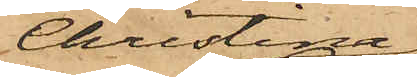Christina
